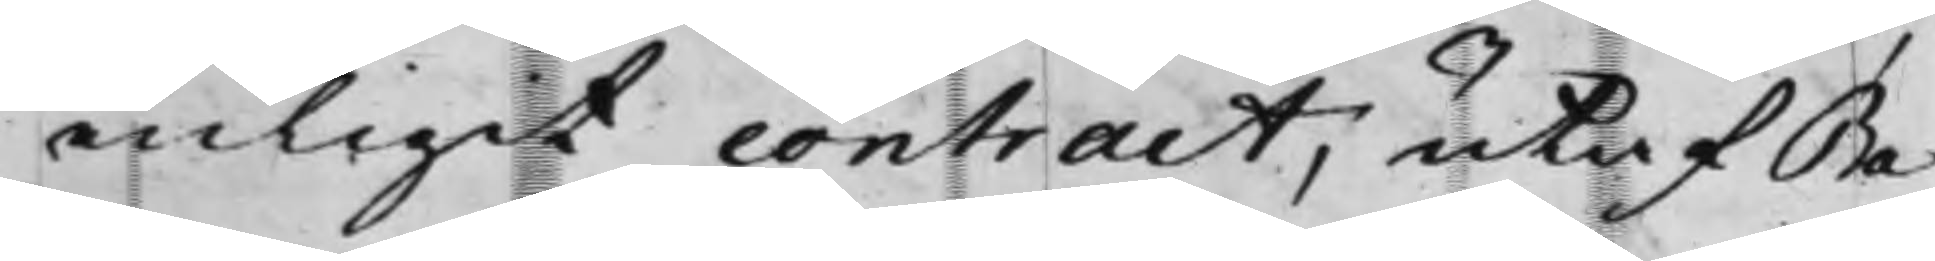enligit contract, utaf Ba¬
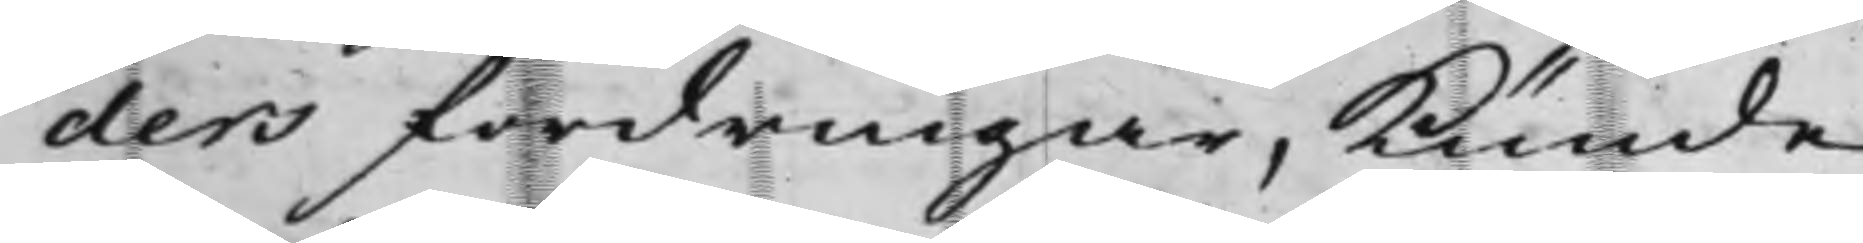ders fordringar, kunde
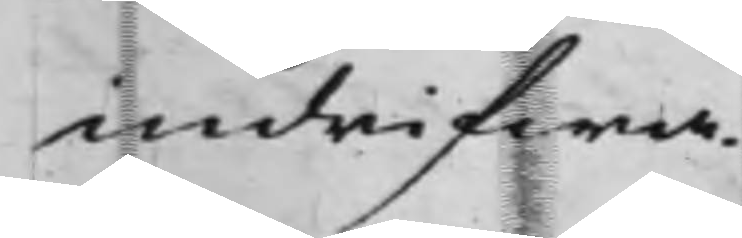indrifwa.
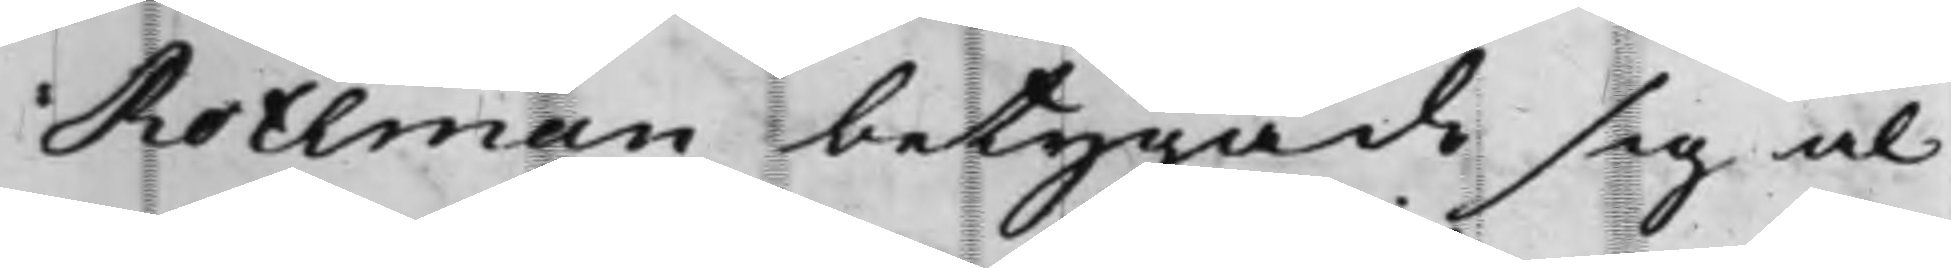Rothman betygade sig al¬
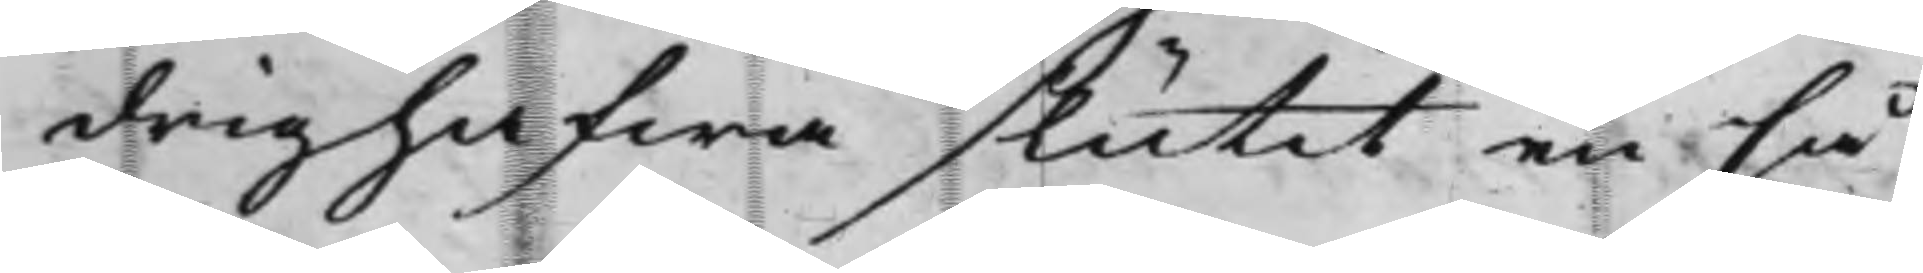drig hafwa slutit en så¬
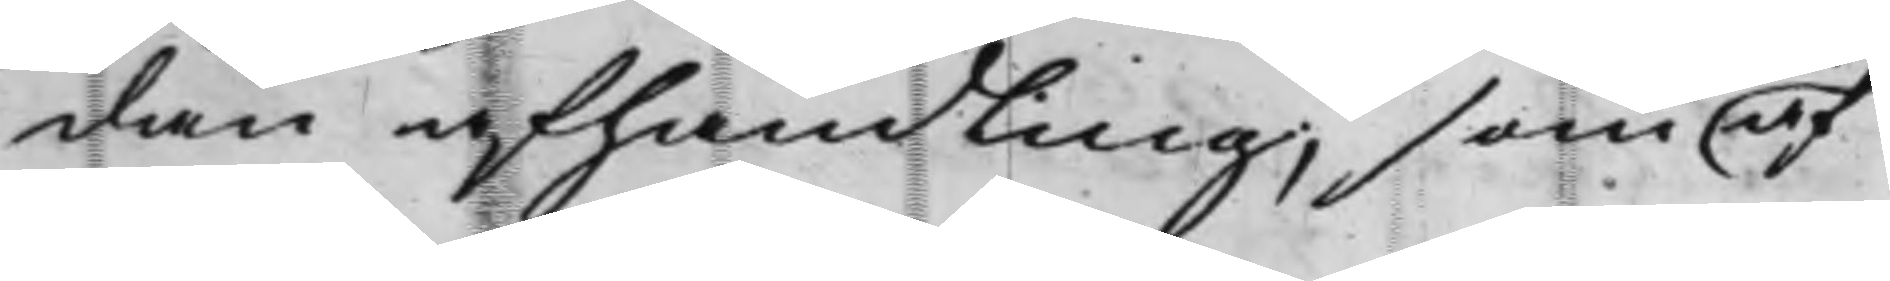dan afhandling, som af
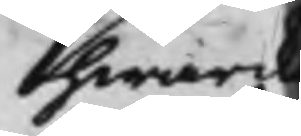hwark
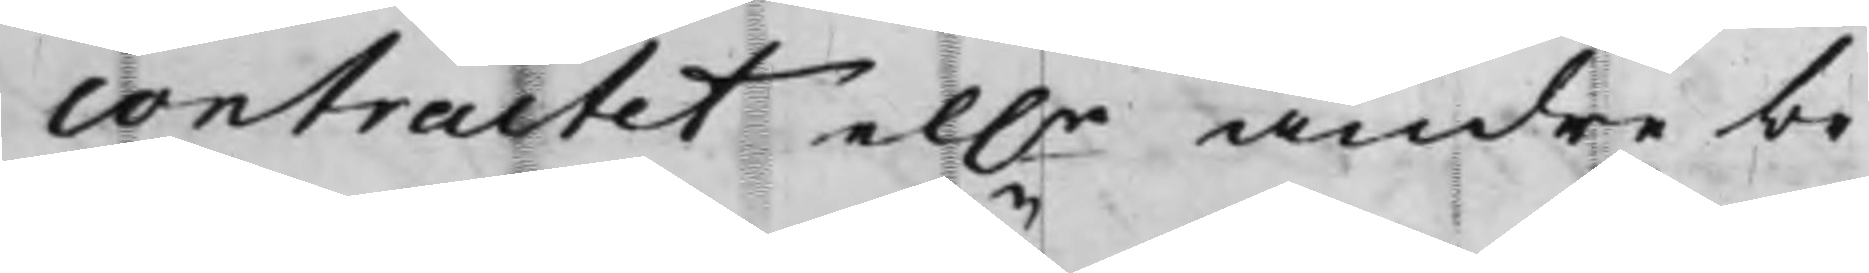contractet el.r andre be¬
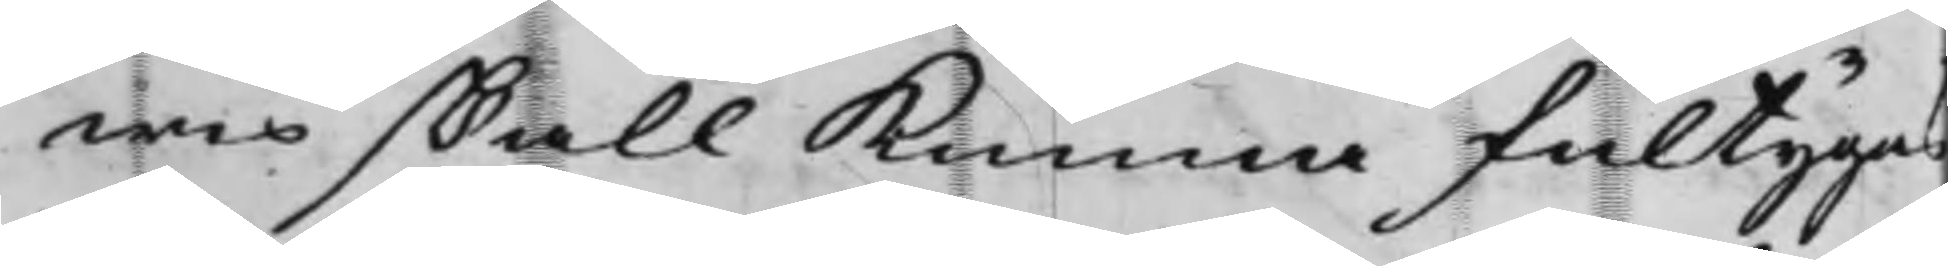wis skall kunna fultygas
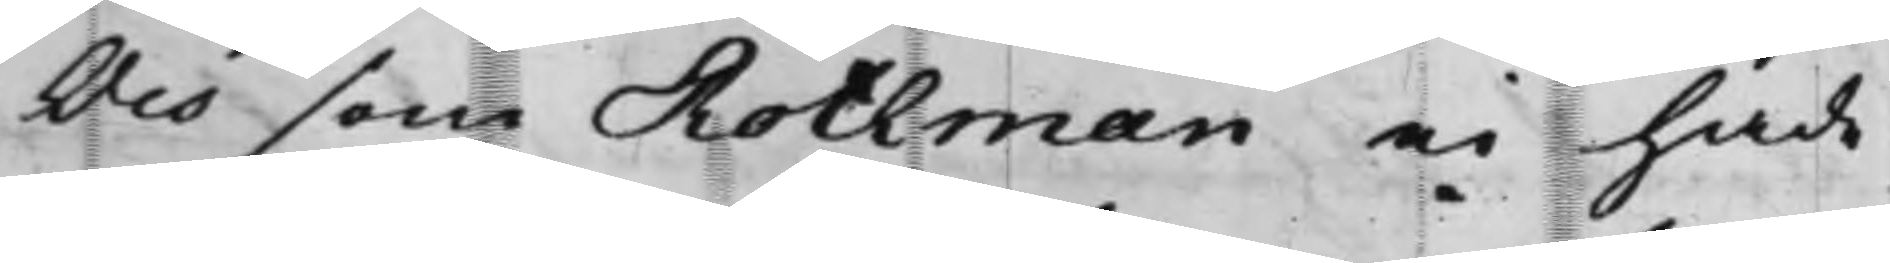Och som Rothman ei hade
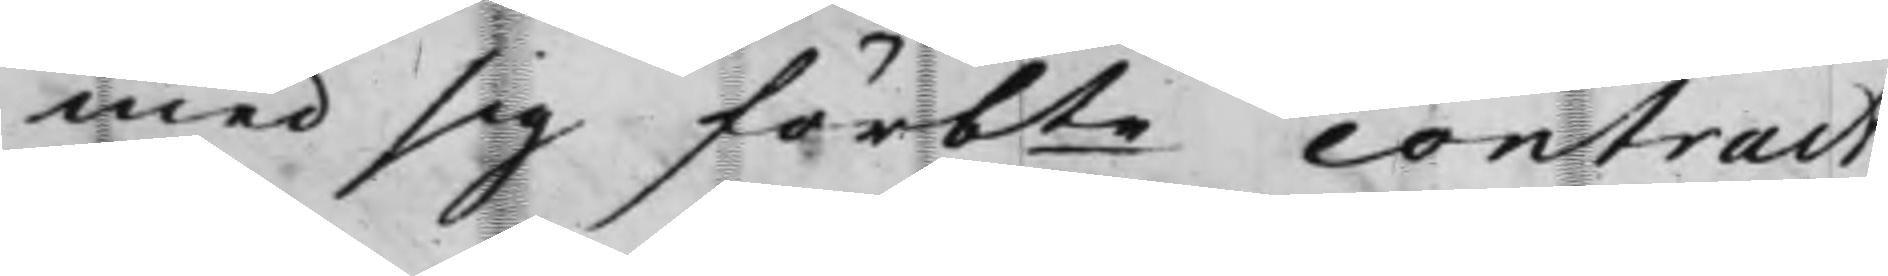med sig förbte contract,
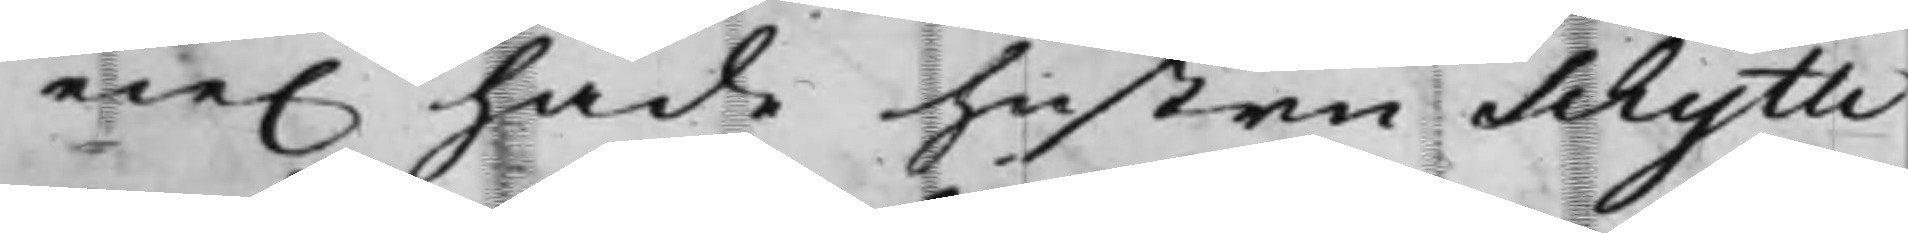eie. hade hustru Schytte
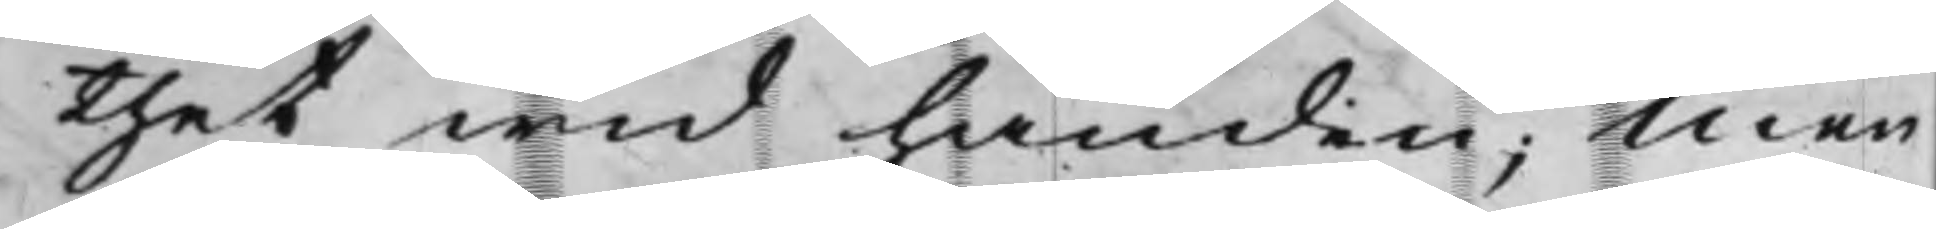thet wid handen; Men
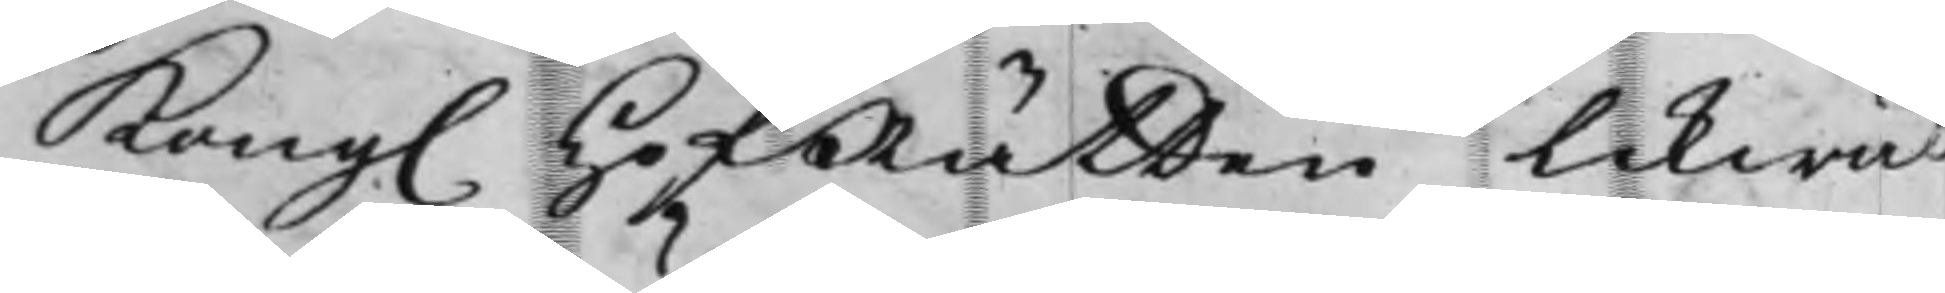Kong. HofRätten likwäl
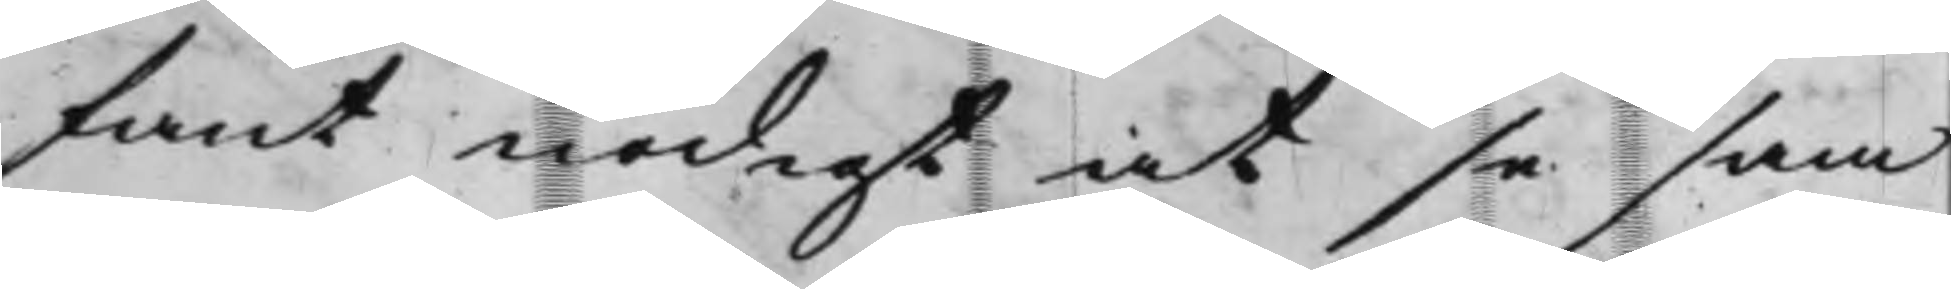fant nödigt at se sam¬
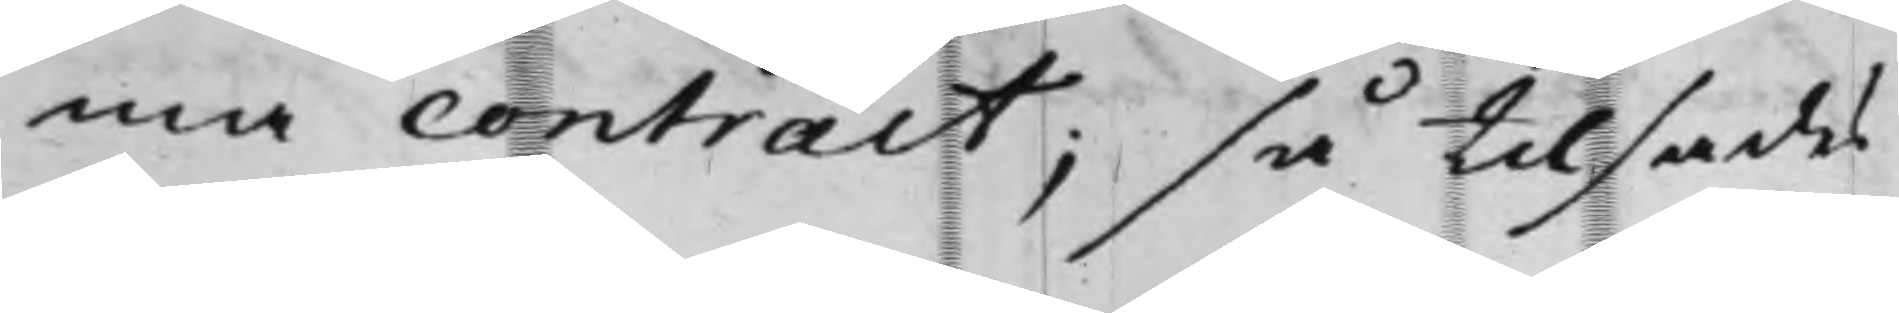ma contract; så tilsades
